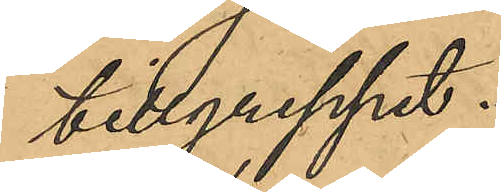tillgreppet.
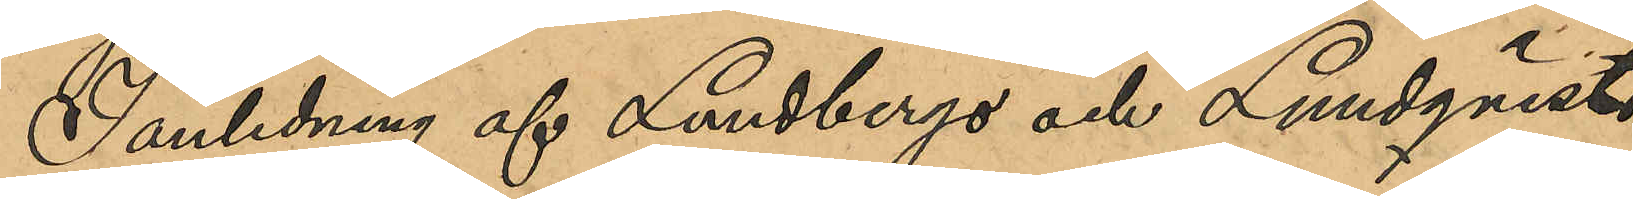I anledning af Lundbergs och Lundqvists
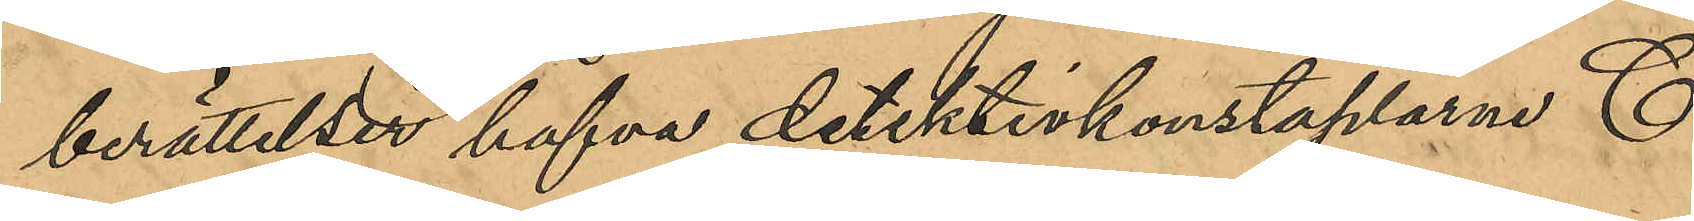berättelser hafva detektivkonstaplarne C.
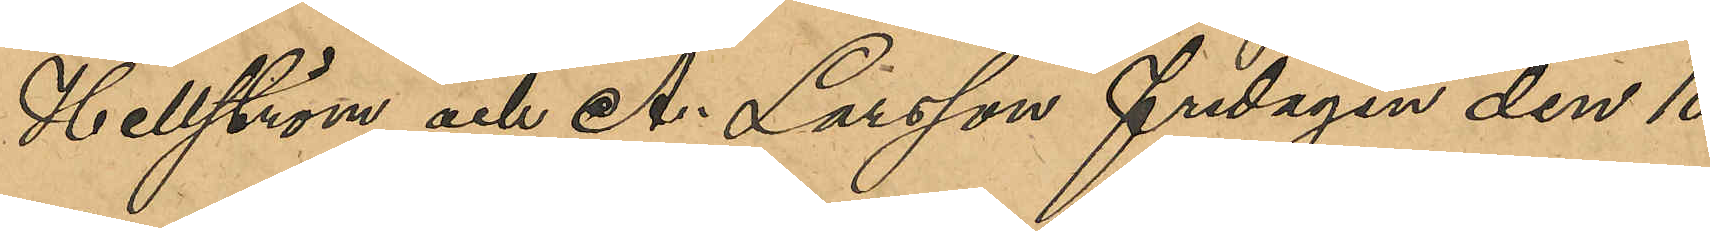Hellström och A. Larsson fredagen den 10
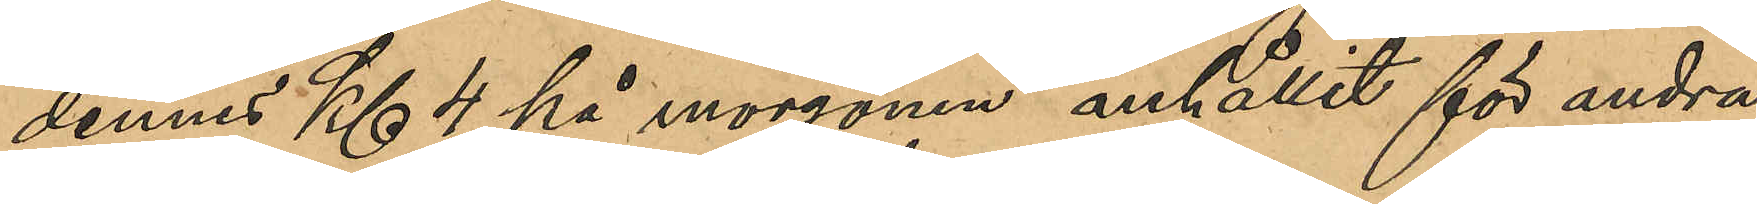dennes Kl 4 på morgonen anhållit för andra
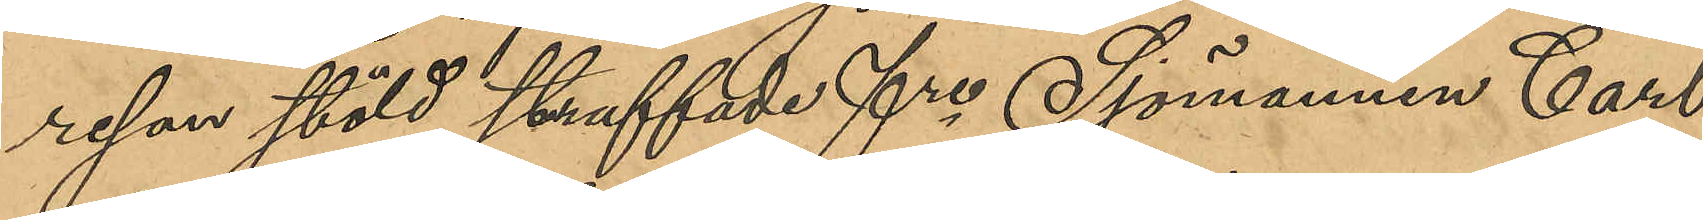resan stöld straffade fre Sjömannen Carl
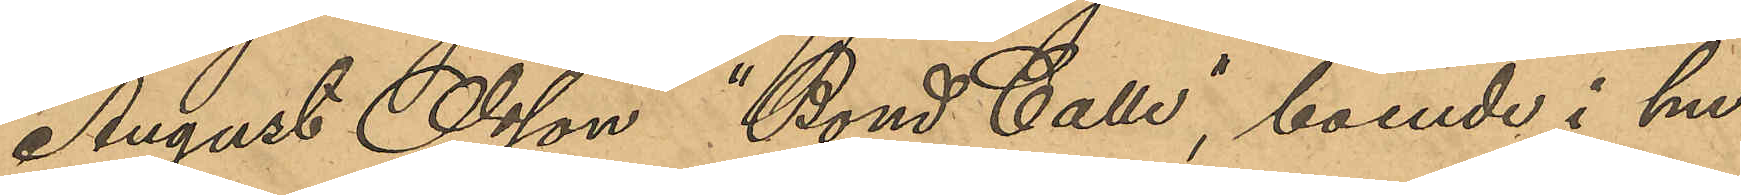August Olsson "Bond Calle", boende i hu¬
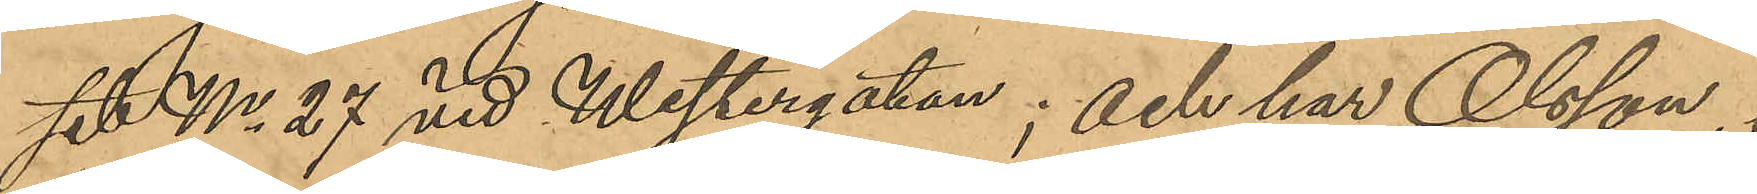set No 27 vid Westergatan; och har Olsson i 
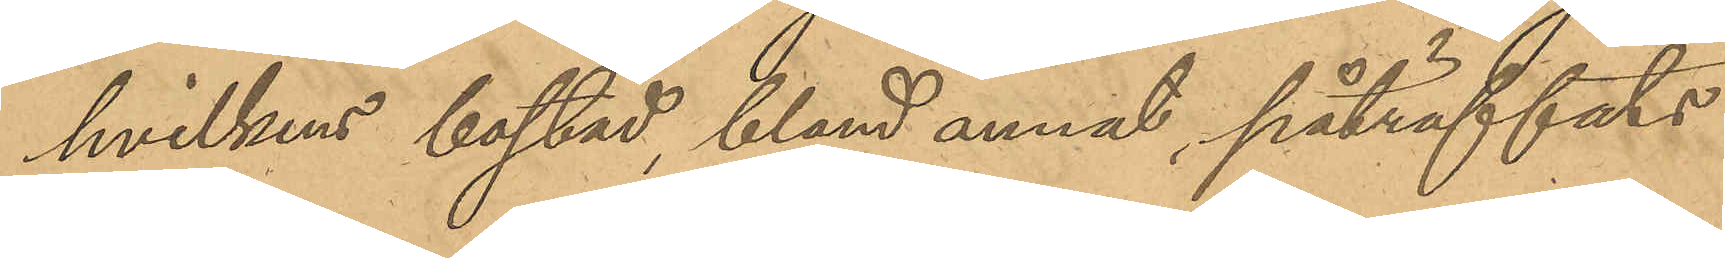hvilkens bostad, bland annat påträffats
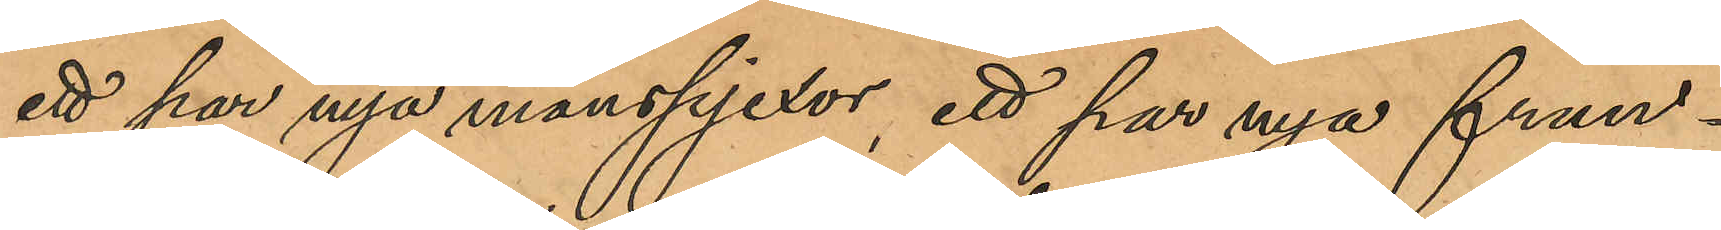ett par nya manspjexor, ett par nya frun¬
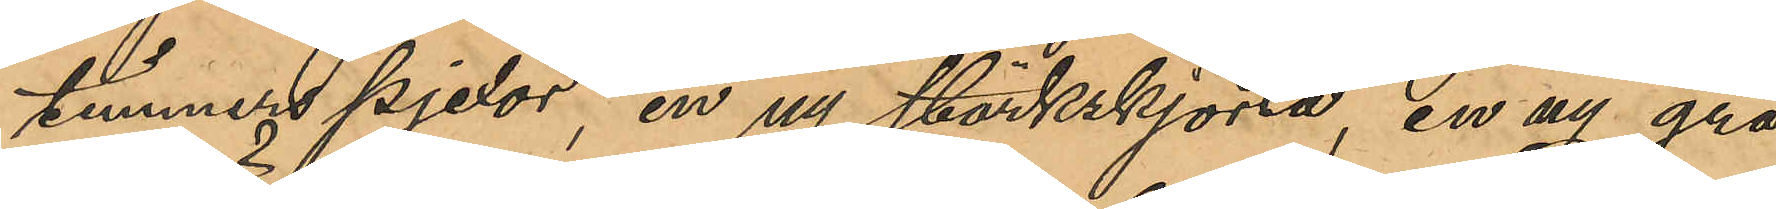timmerspjexor, en ny stärkskjorta, en ny grå
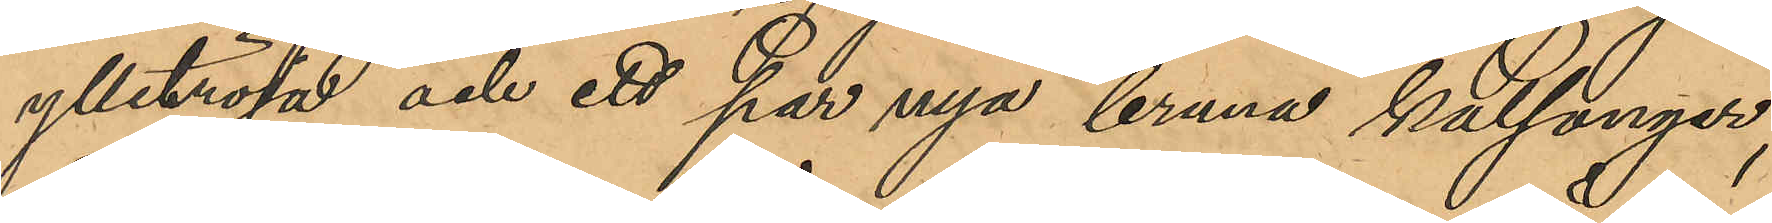ylletröja och ett par nya bruna kalsonger,
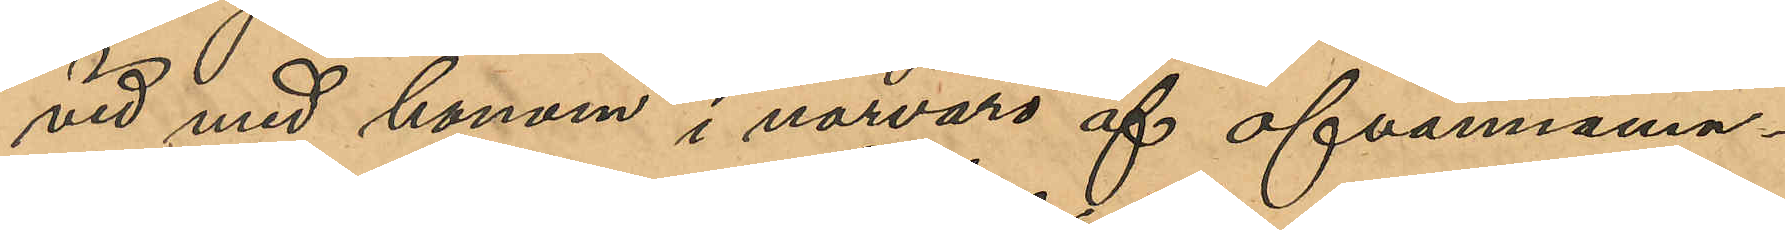vid med honom i närvaro af ofvannämn¬
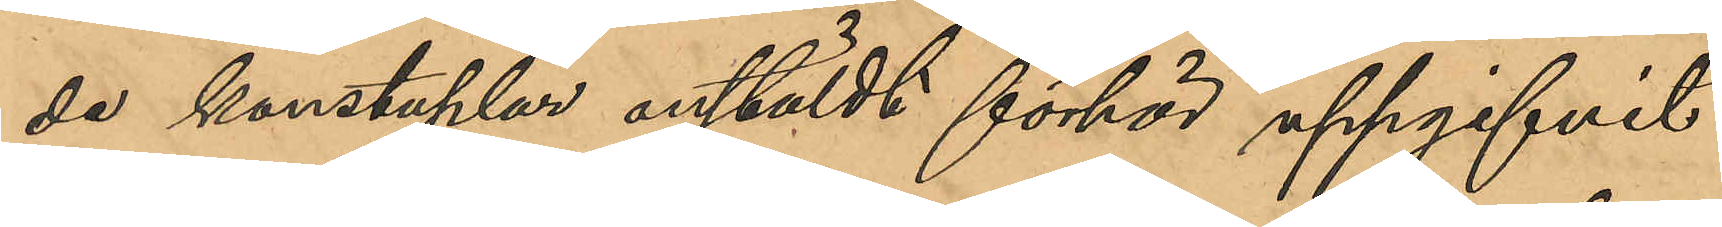de konstaplar anstäldt förhör uppgifvit
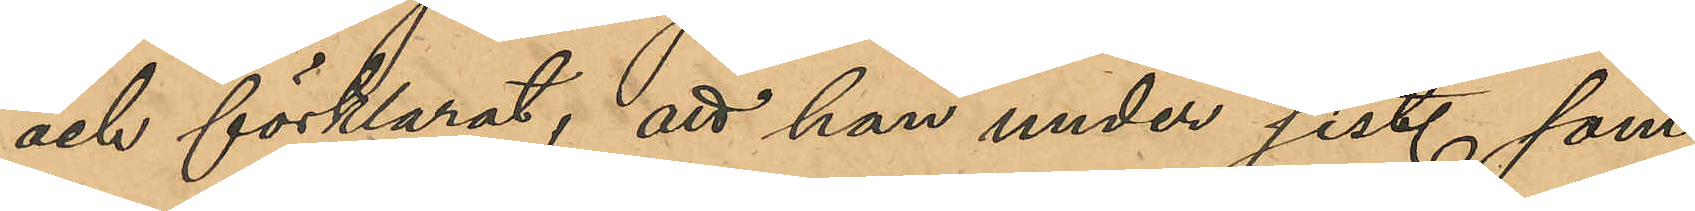och förklarat; att han under sist. som¬
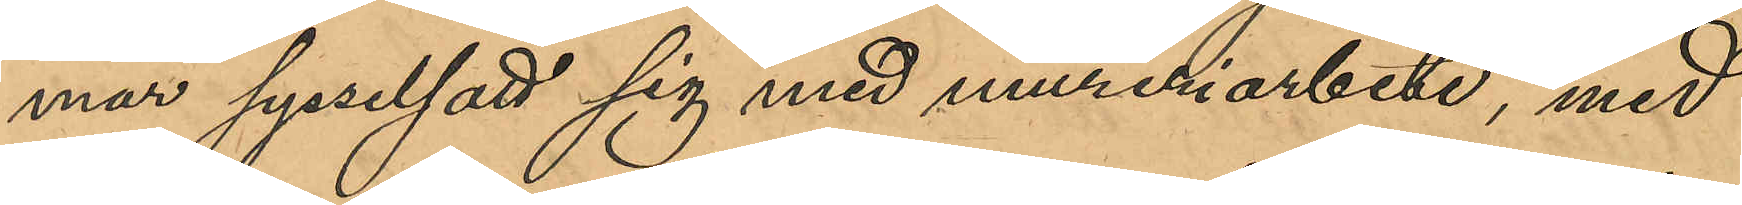mar sysselsatt sig med mureriarbete, med
